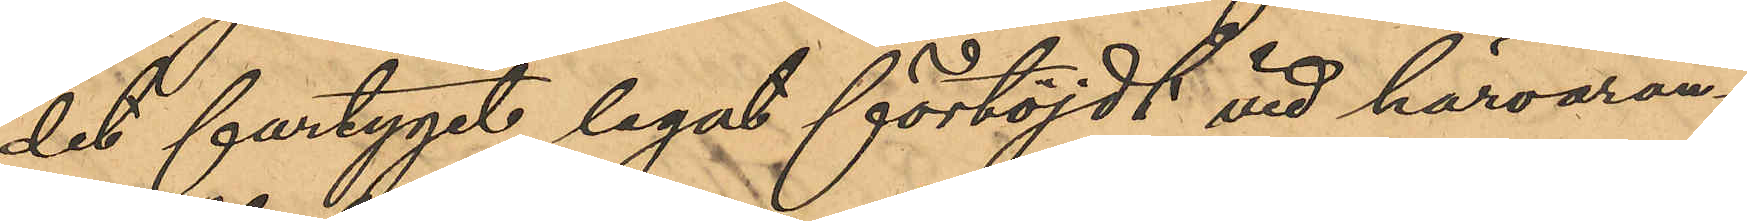det fartyget legat förtöjdt vid härvaran¬
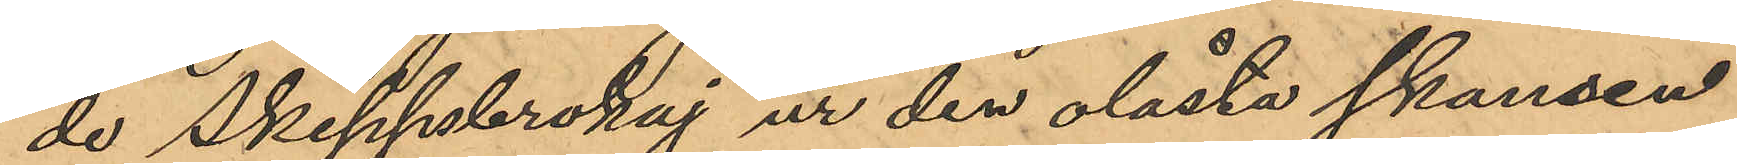de Skeppsbrokaj ur den olåsta skansen
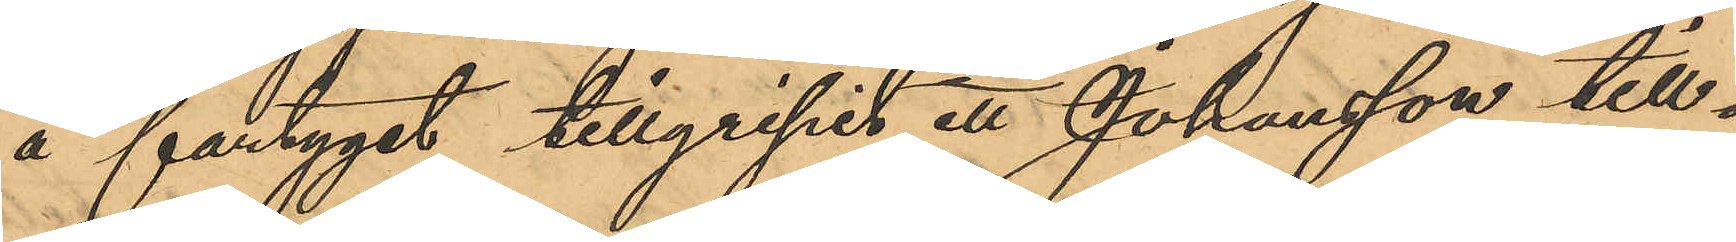å fartyget tillgripit ett Johansson till¬
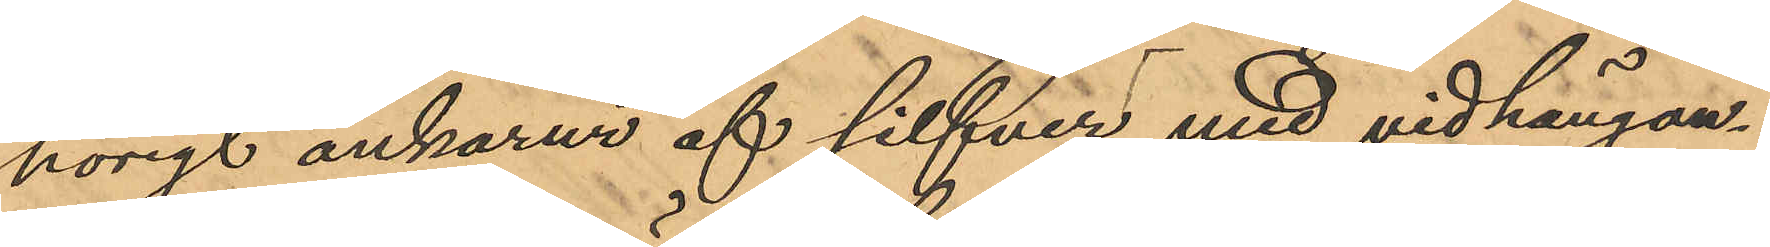hörigt ankarur af silfver med vidhängan¬
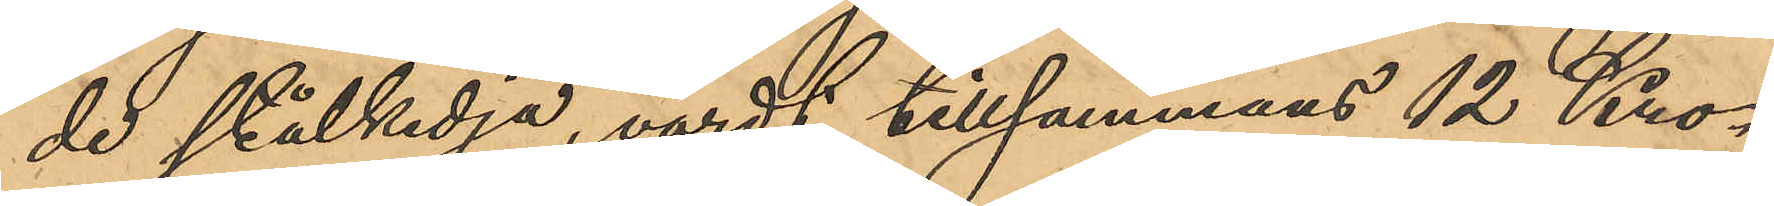de stålkedja, värdt tillsammans 12 Kro¬
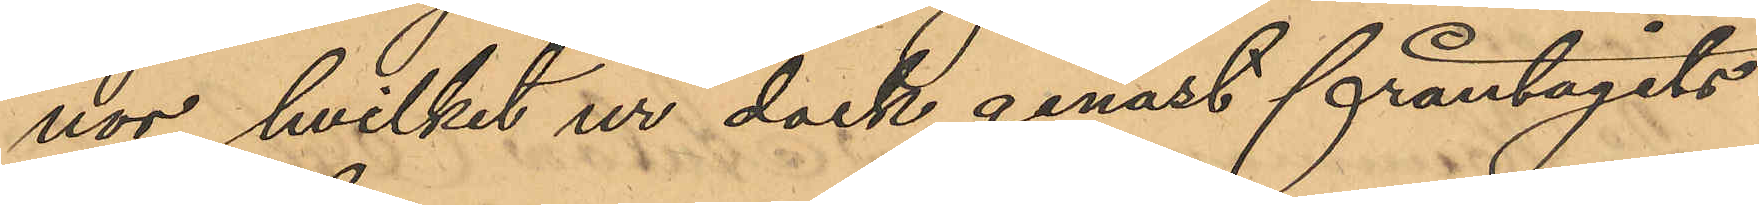nor, hvilket ur dock genast fråntagits
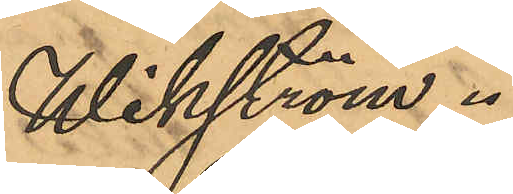Wikström.
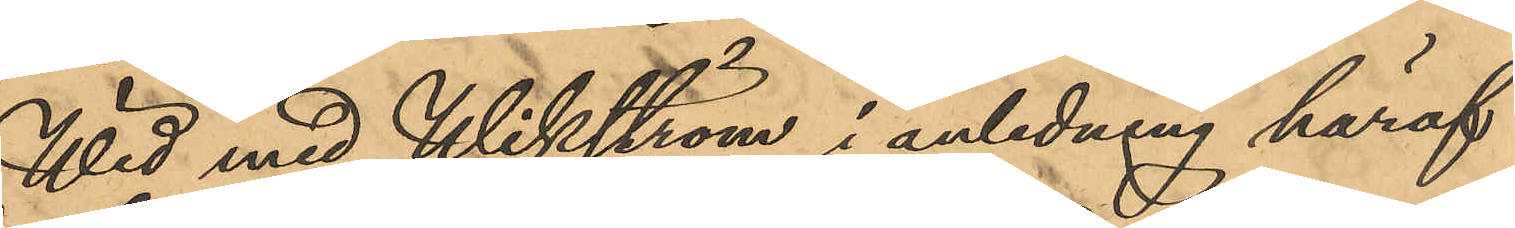Wid med Wikström i anledning häraf
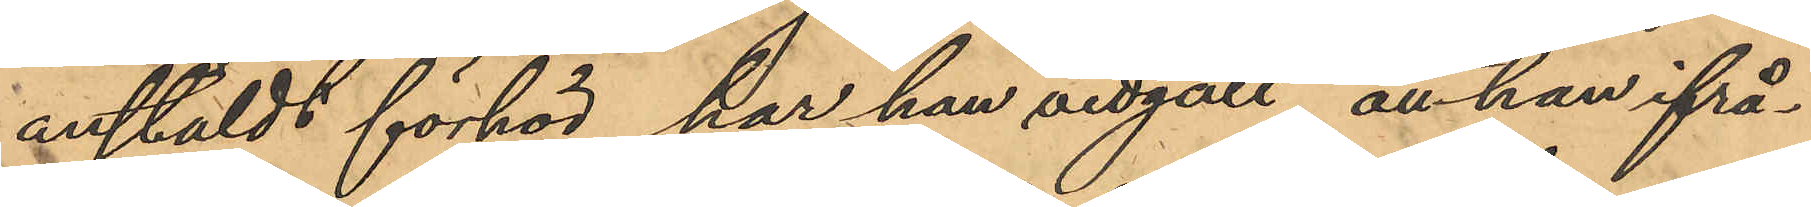anstäldt förhör, har han vidgått, att han ifrå¬
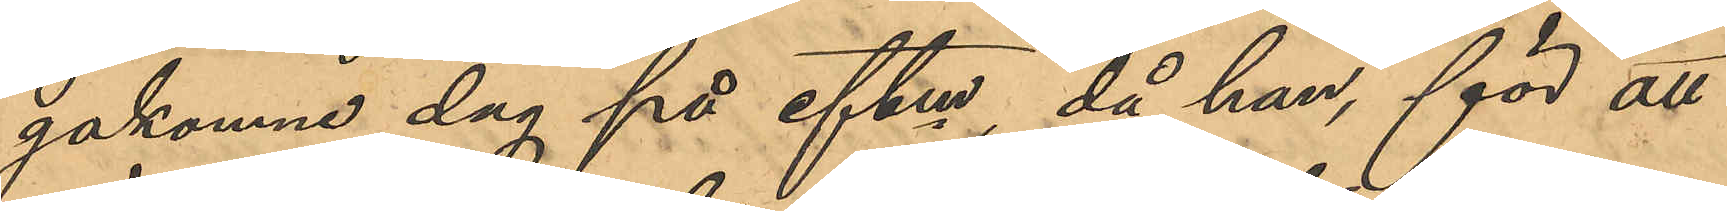gakomne dag på eftm, då han, för att
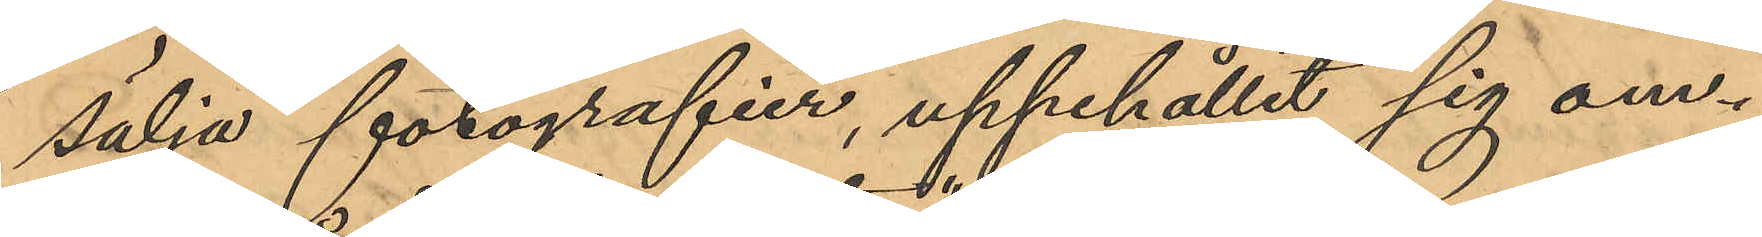sälja forografier, uppehållit sig om¬
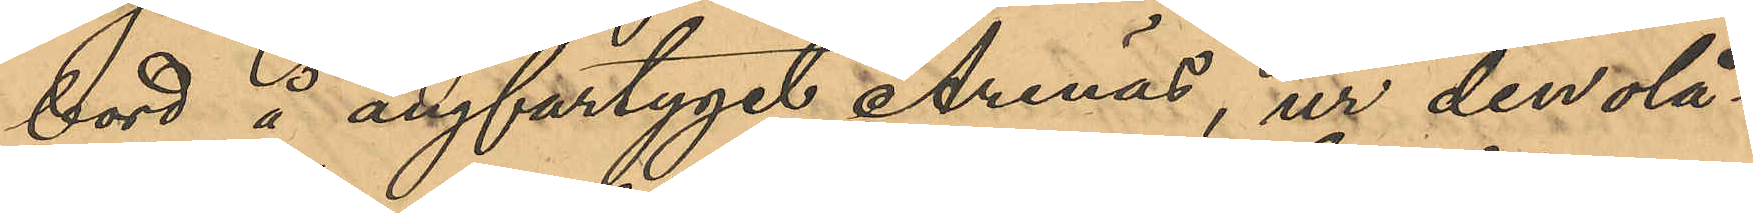bord å ångfartyget "Arenäs", ur den olå¬
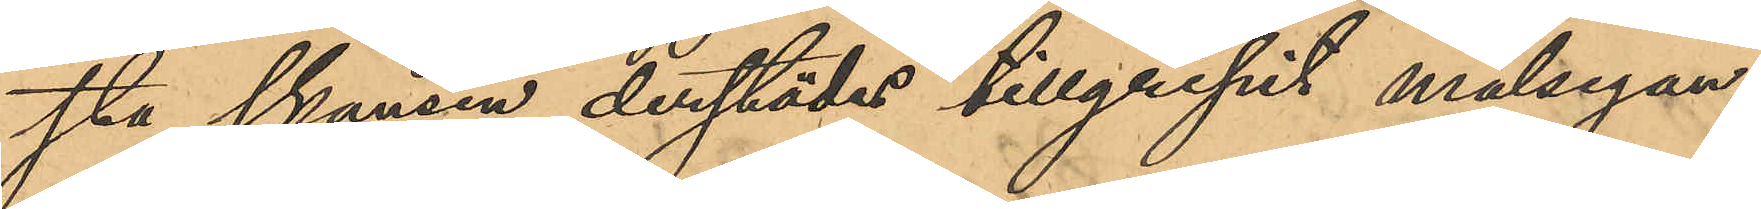sta skansen derstädes tillgripit målsegan¬
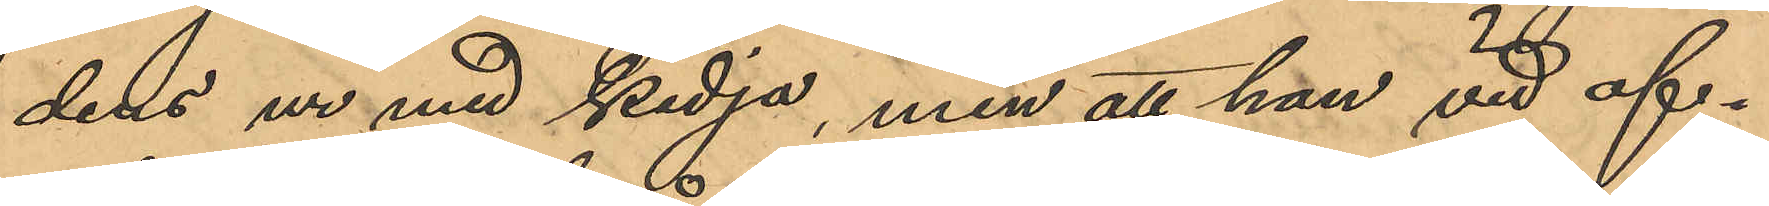dens ur med kedja, men att han vid af¬
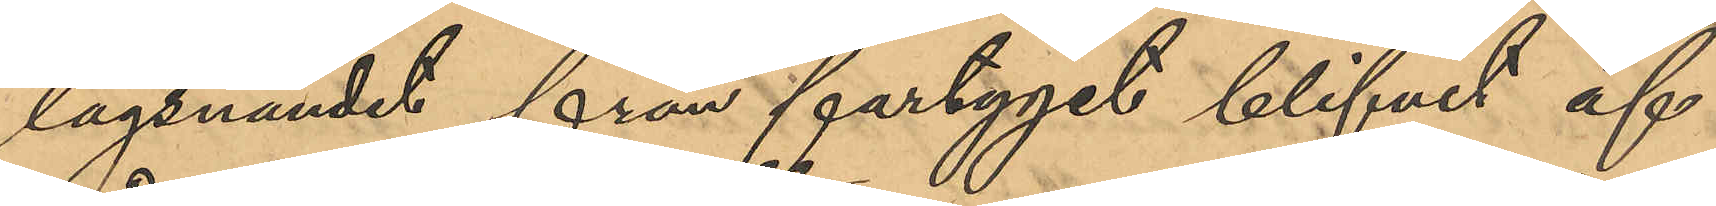lägsnandet från fartyget blifvit af
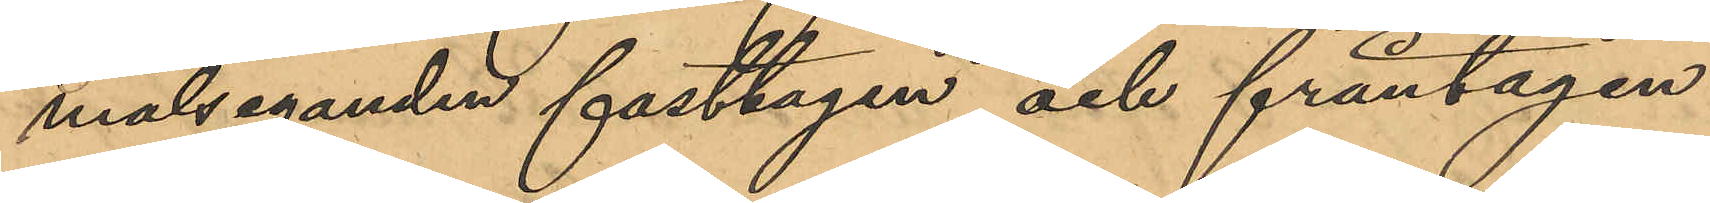målseganden fasttagen och fråntagen
